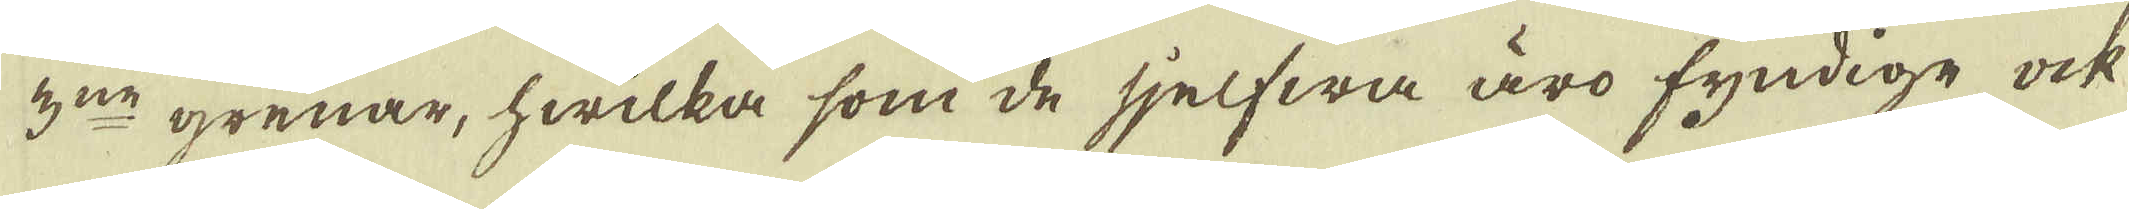3:ne grenar, hwilka som de sjelfwa äro fyndige ock
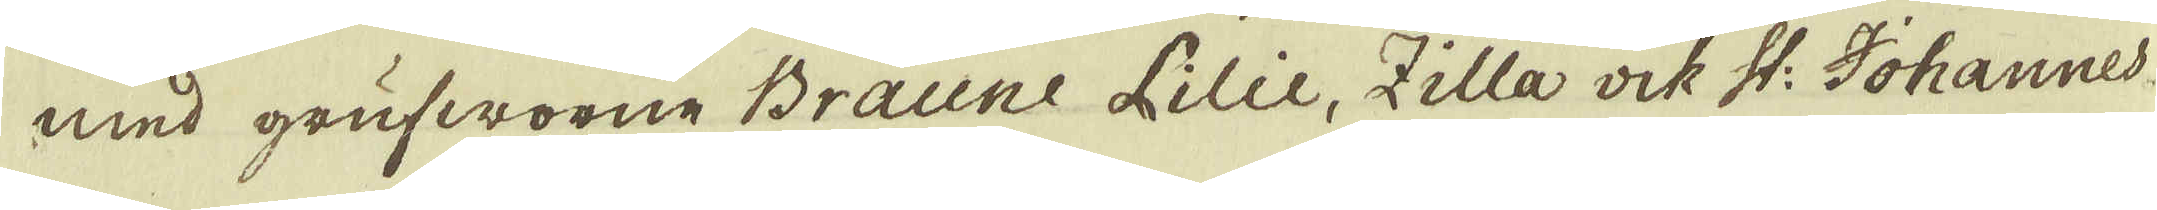med grufworne Braune Lilie, Zilla ock St: Johannes
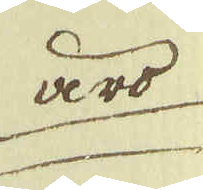äro
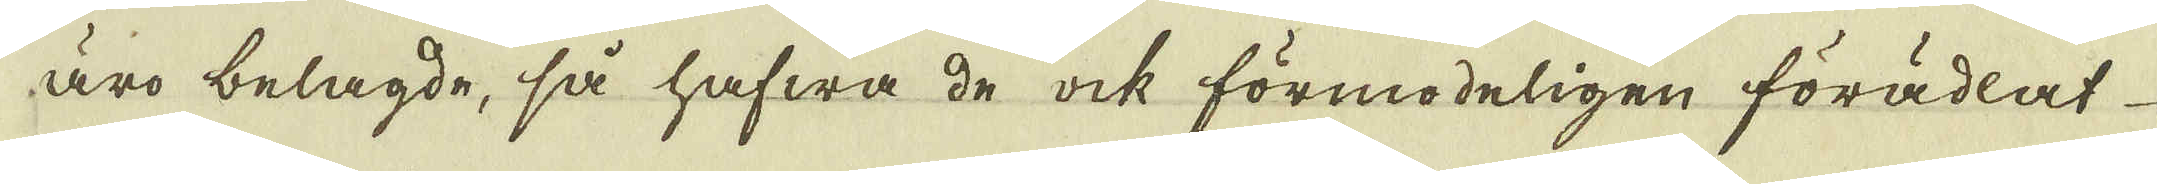äro belägde, så hafwa de ock förmodeligen förädlat
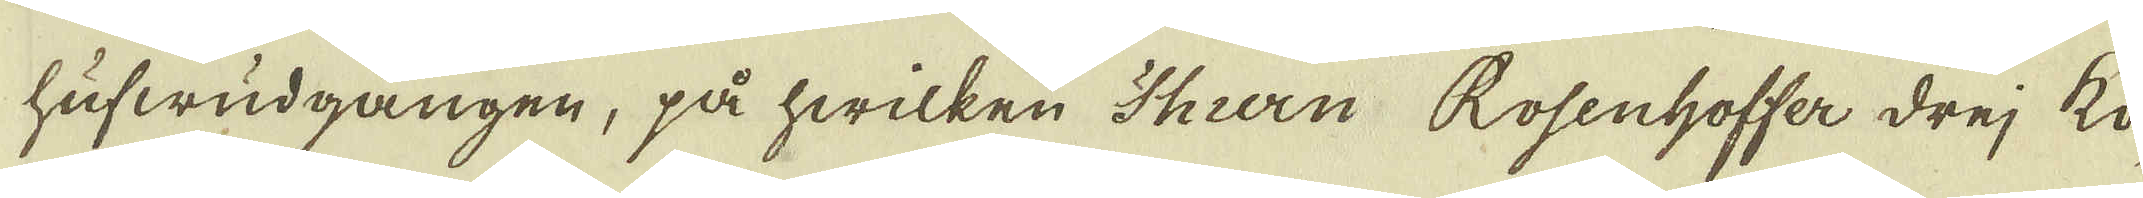hufwudgången, på hwilken Thiern Rosenhoffer drej kö-
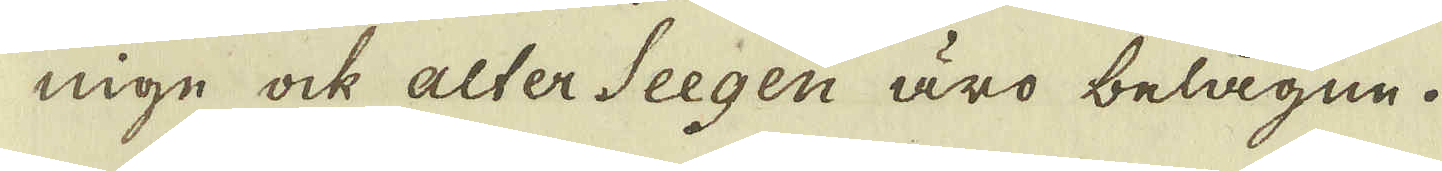nige ock alter Seegen äro belägne.
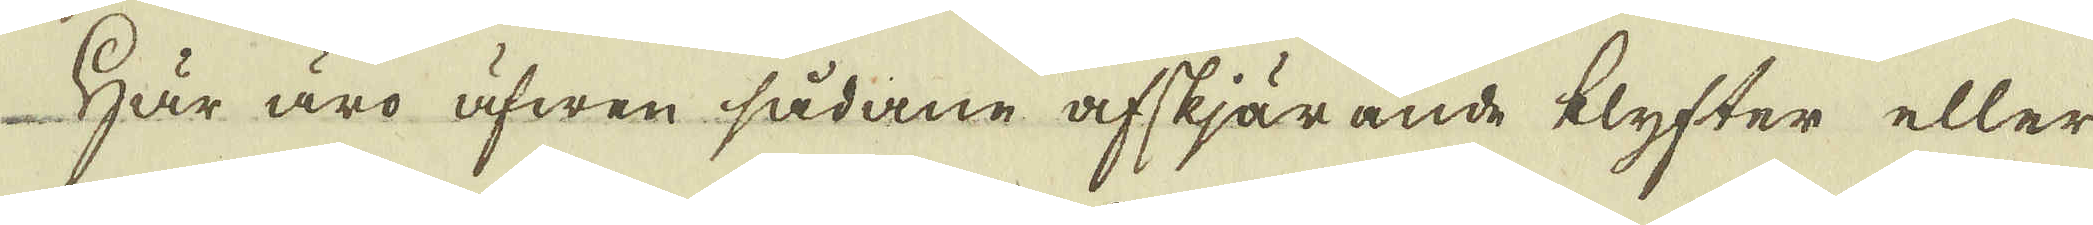Här äro äfwen sådane afskjärande klyfter eller
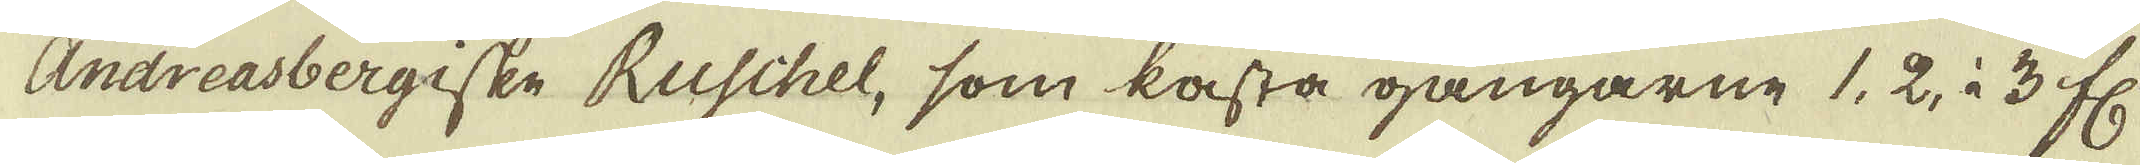Andreasbergiske Ruschel, som kasta gångarne 1, 2, à 3 f:r
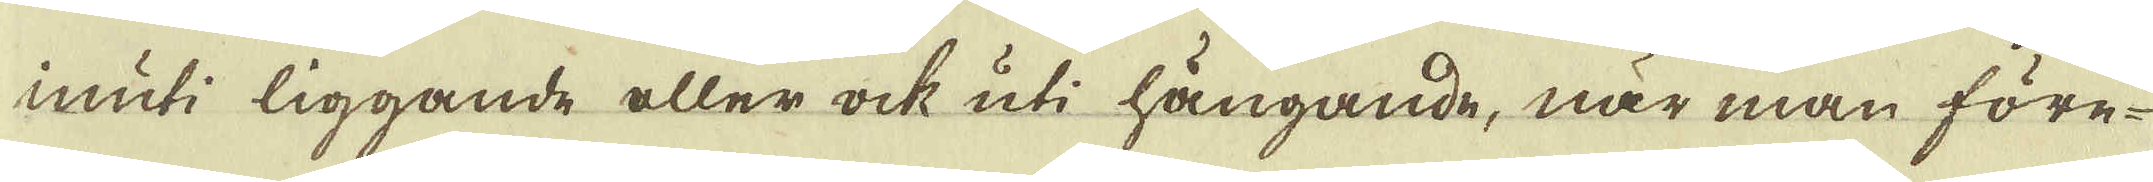inuti liggande eller ock uti hängande, när man före-
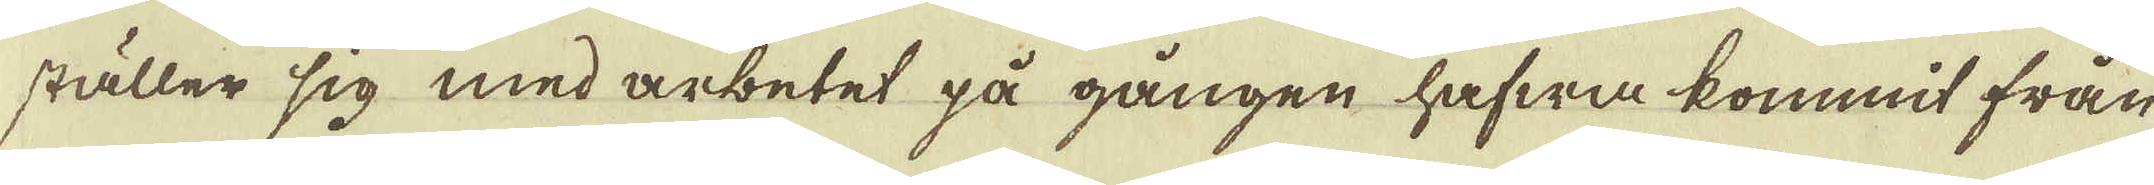ställer sig med arbetet på gången hafwa kommit från
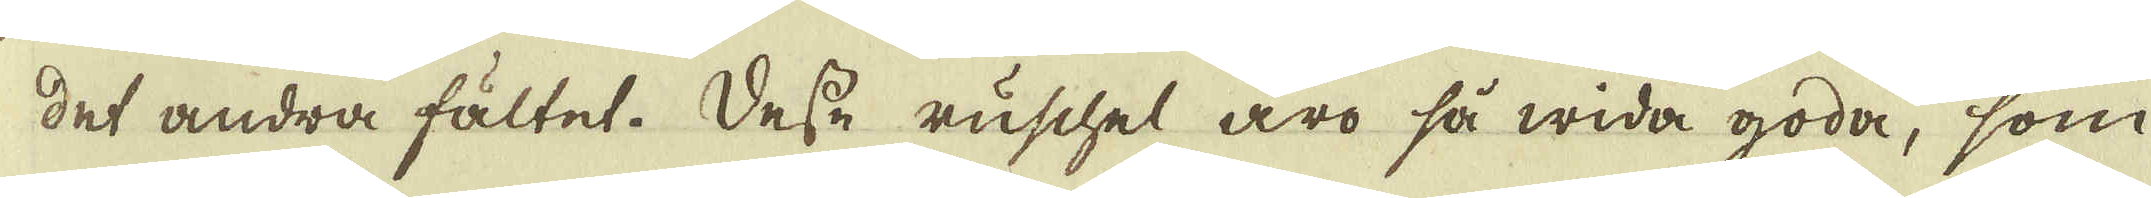det andra fältet. Desse ruschel äro så wida goda, som
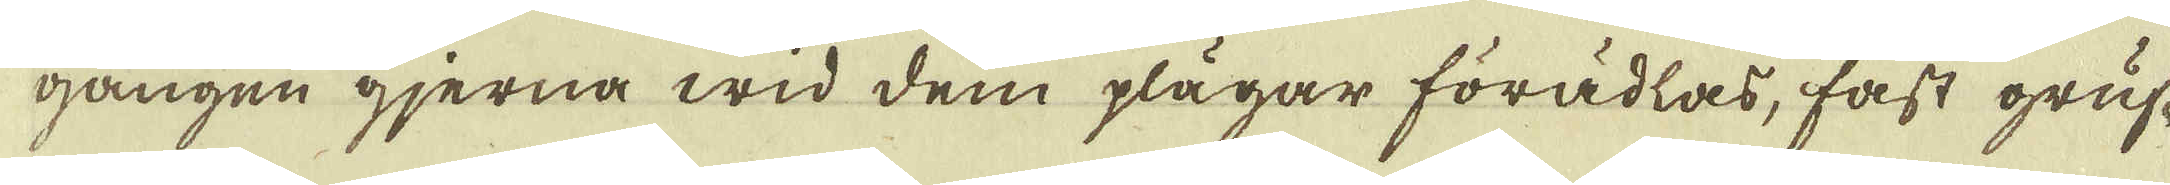gången gjerna wid dem plägar förädlas, fast gruf-
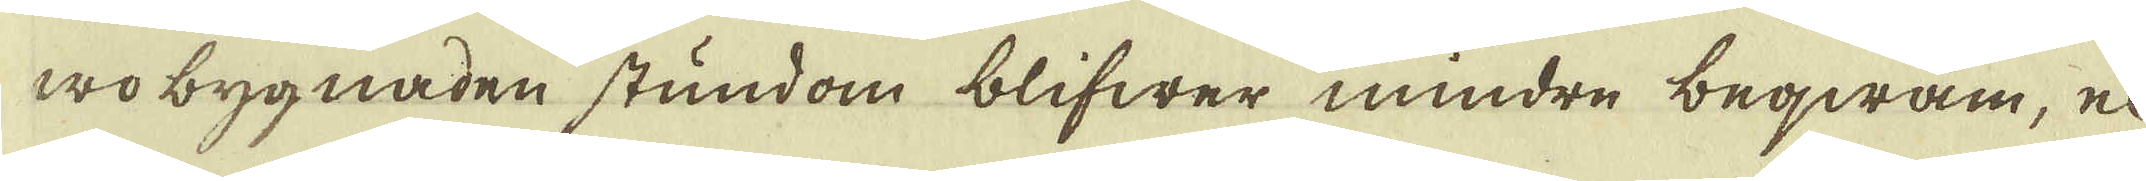wo bygnaden stundom blifwer mindre beqwäm, el-
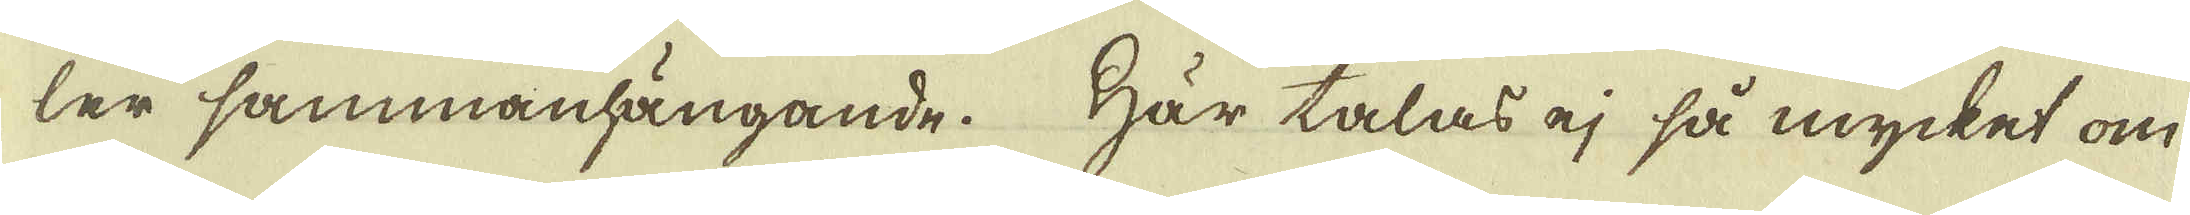ler sammanhängande. Här talas ej så mycket om
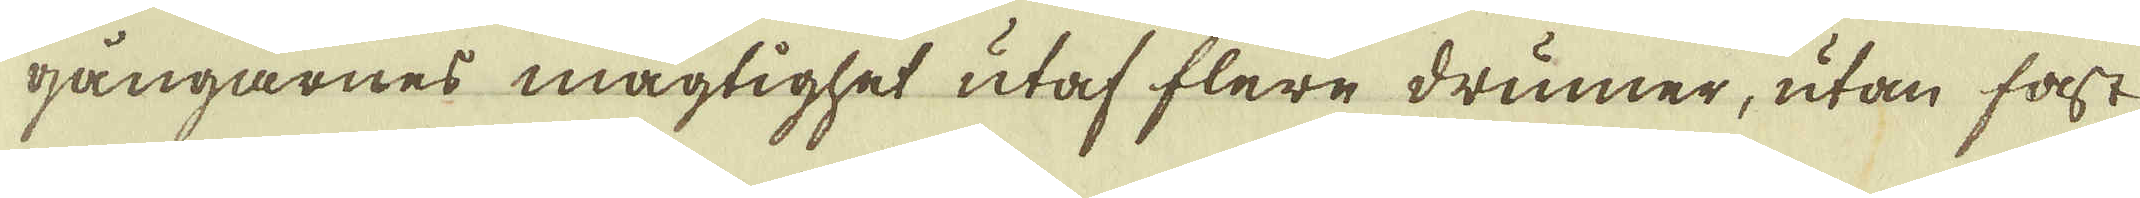gångarnes mägtighet utaf flere drumer, utan fast
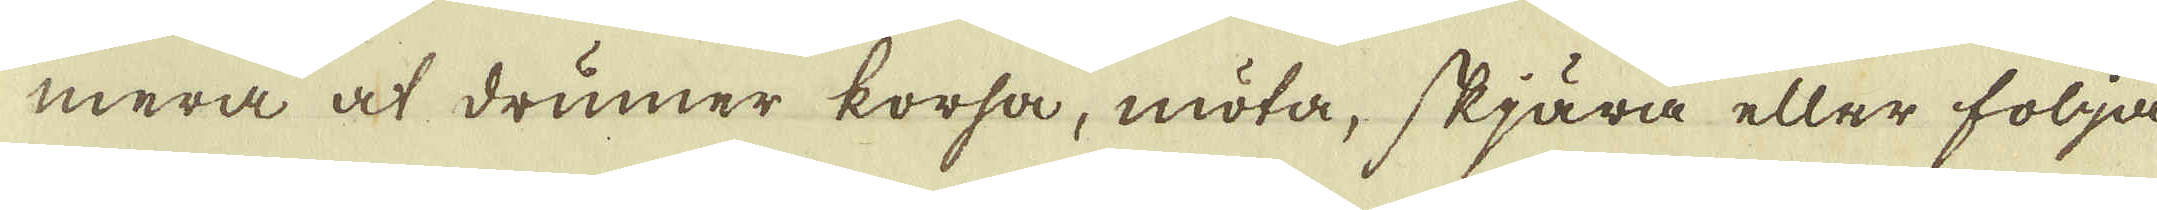mera at drumer korsa, möta, skjära eller följa
